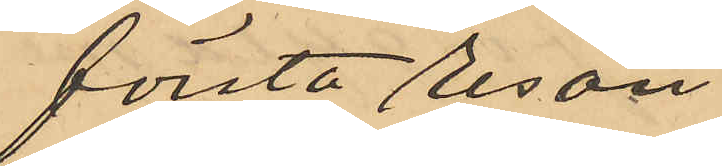första resan
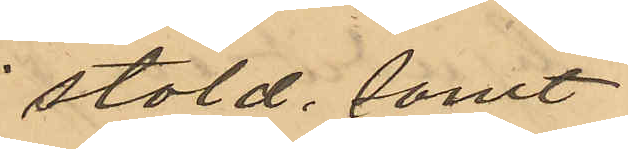stöld, samt
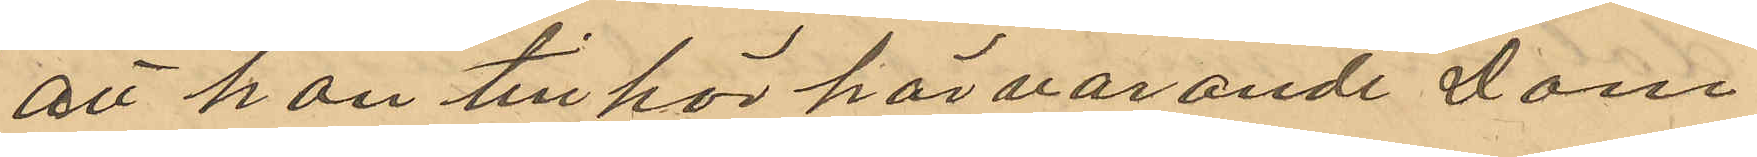att han tillhör härvarande Dom¬
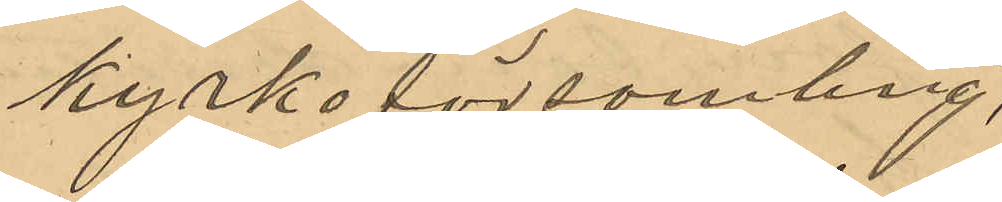kyrkoförsamling,
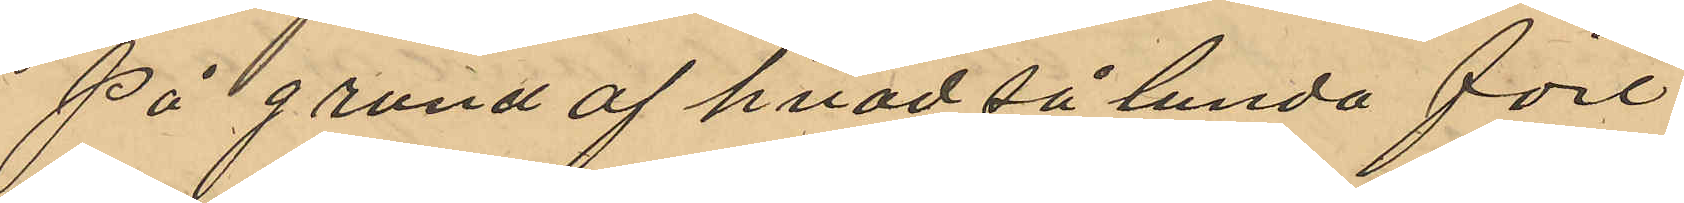På grund af hvad så lunda före¬
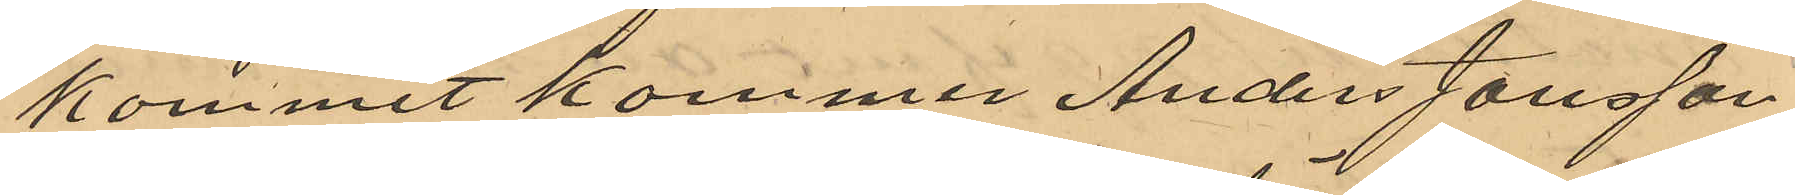kommit kommer Anders Jönsson
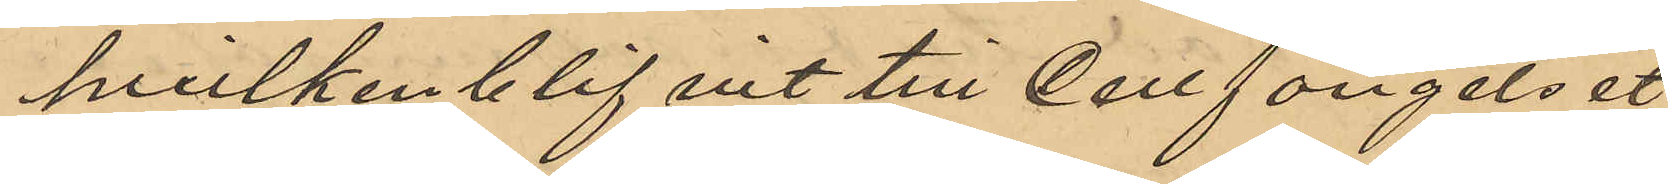hvilken blifvit till Cellfängelset
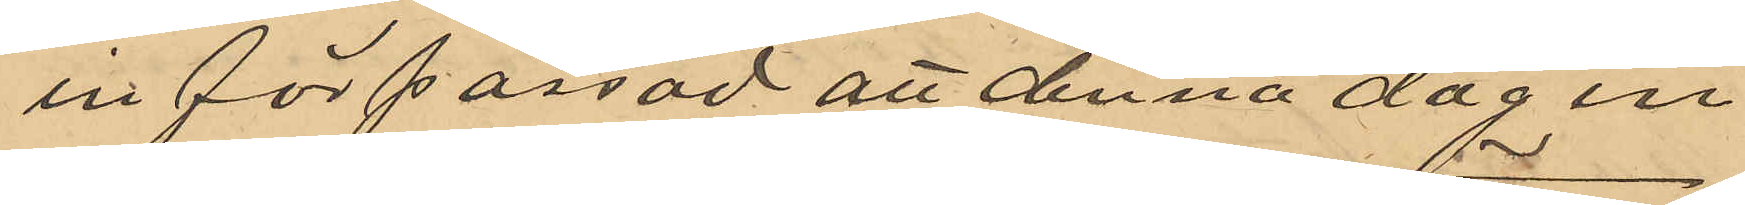införpassad att denna dag en
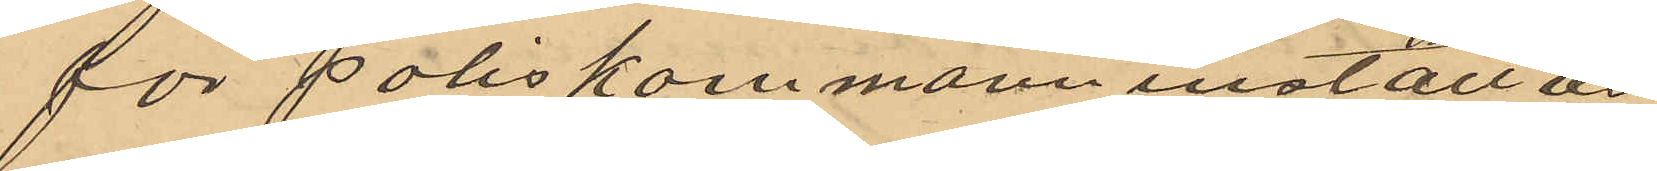för Poliskammann inställas.
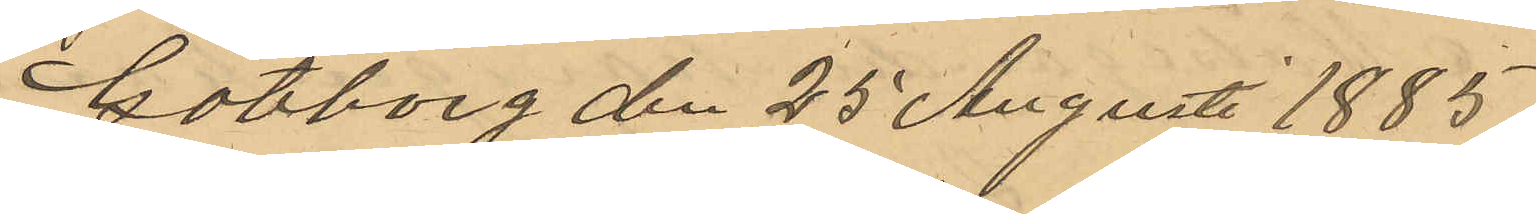Göteborg den 25 Augusti 1885
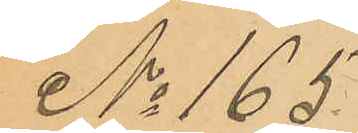No 165.
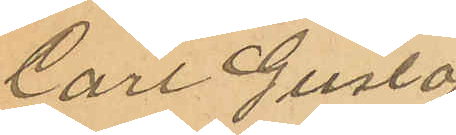Carl Gustaf
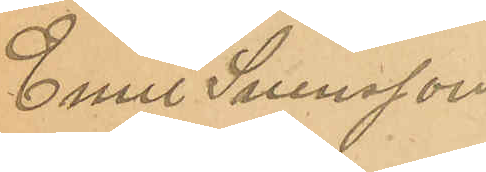Emil Svensson
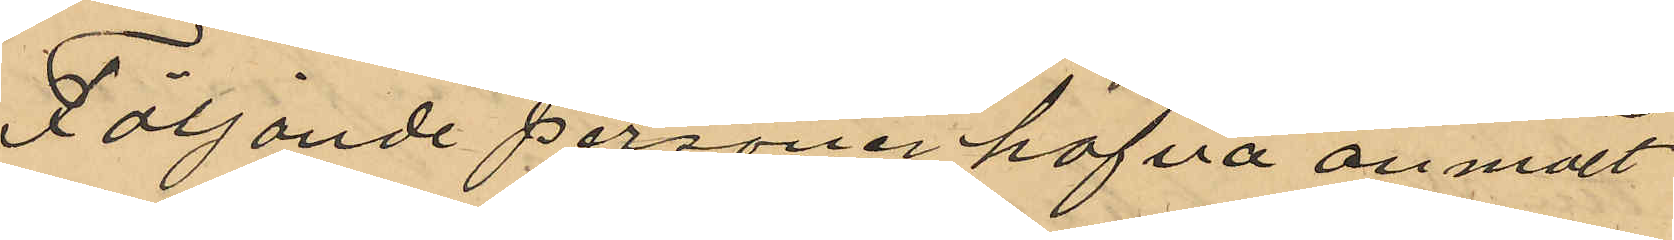Följande personer hafva anmält
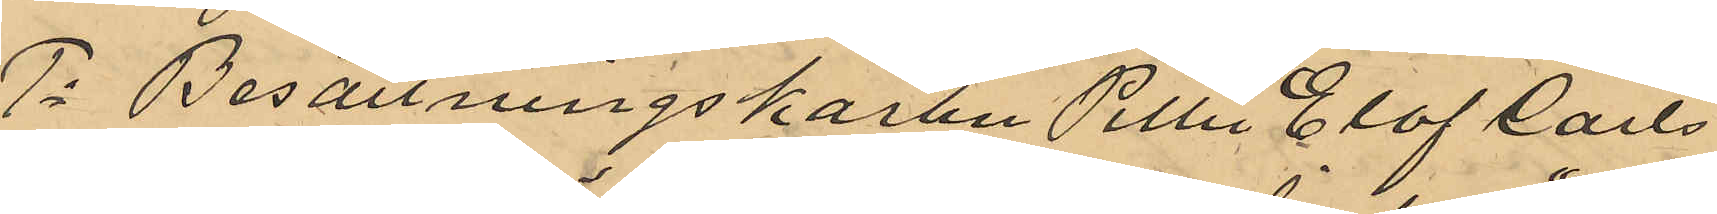1o Besättningskarlen Petter Olof Carls
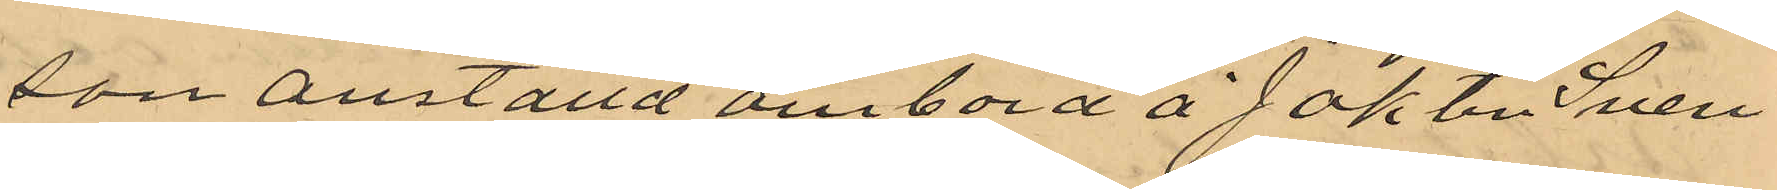son anställd ombord å Jakten "Sven
